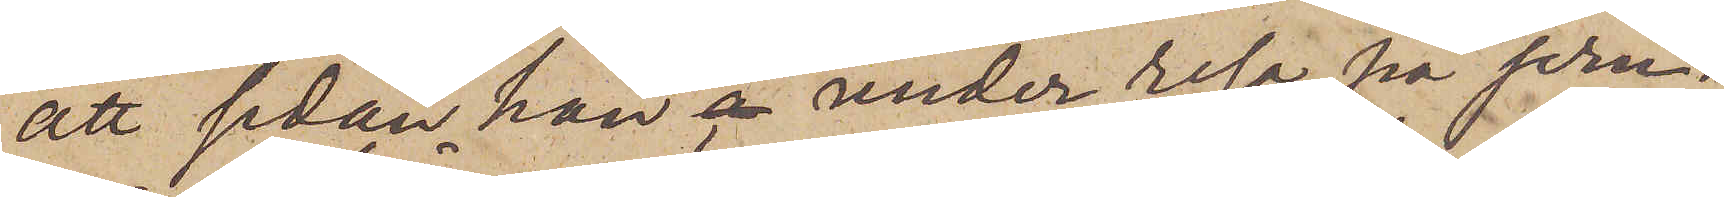att sedan han under resa på jern¬
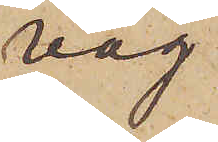väg
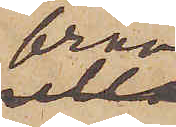från
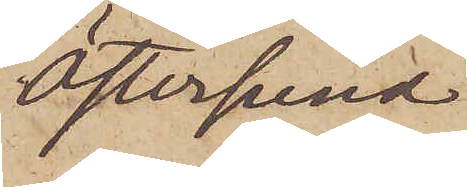Östersund
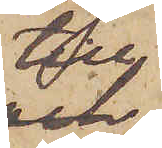till
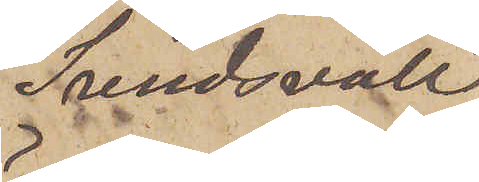Sundsvall
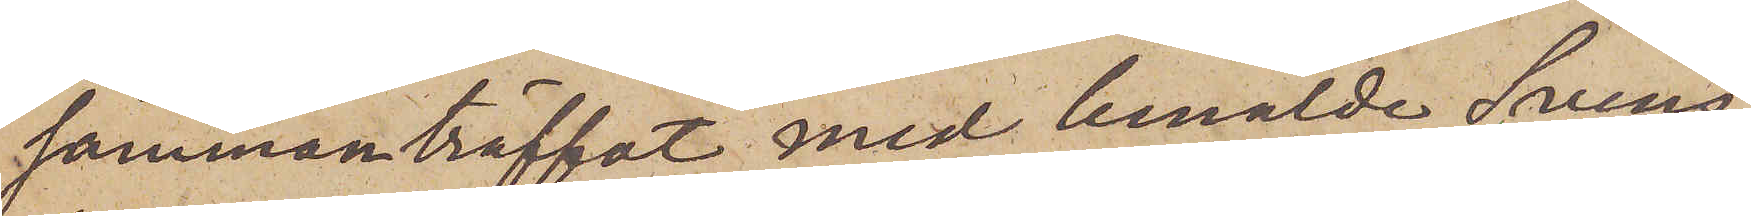sammanträffat med bemälde Svens¬
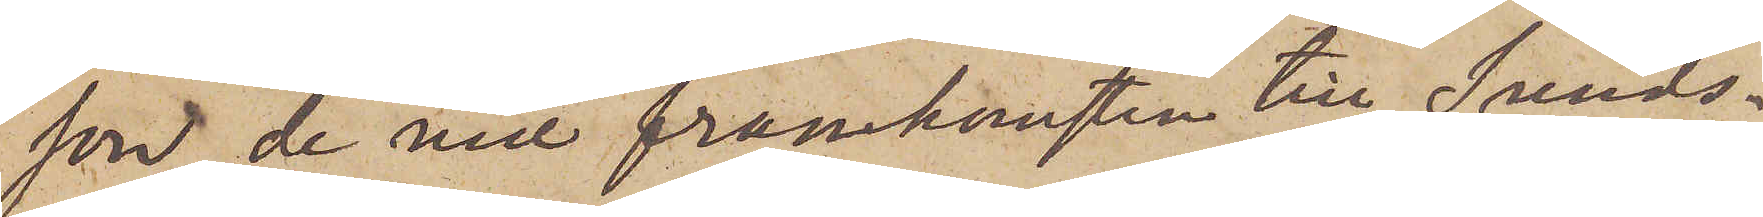son, de vid framkomsten till Sunds¬
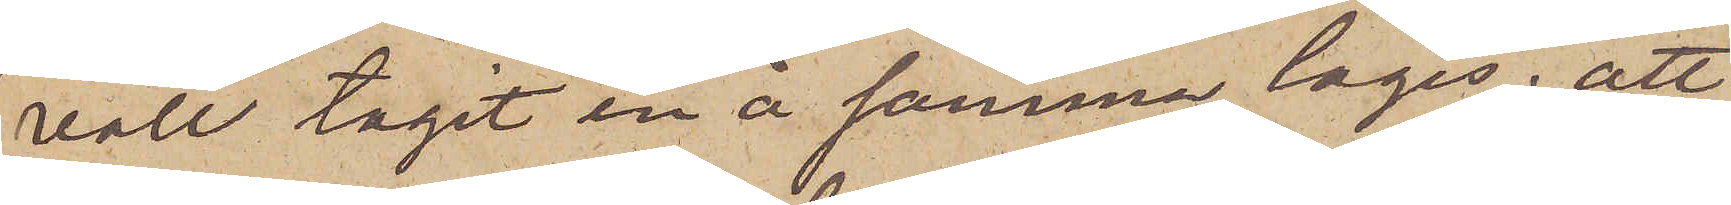vall tagit in å samma logis; att
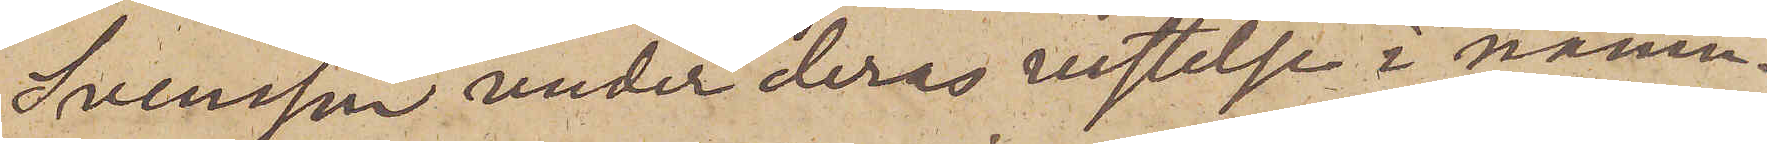Svensson under deras vistelse i nämn¬
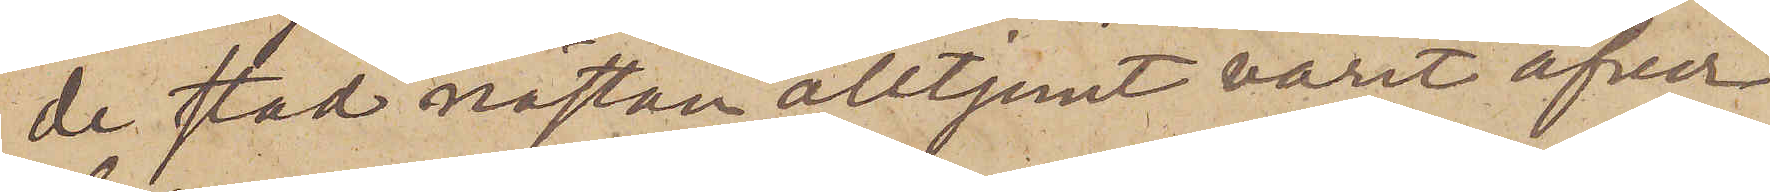de stad nästan alltjemt varit öfver¬
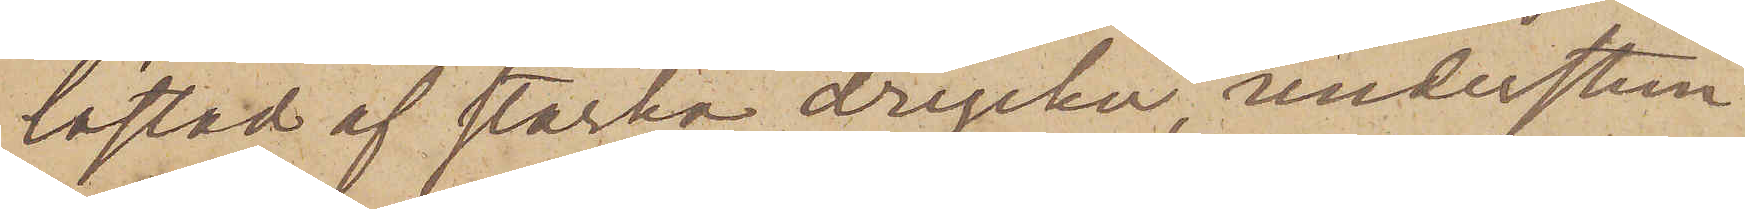lastad af starka drycker understun¬
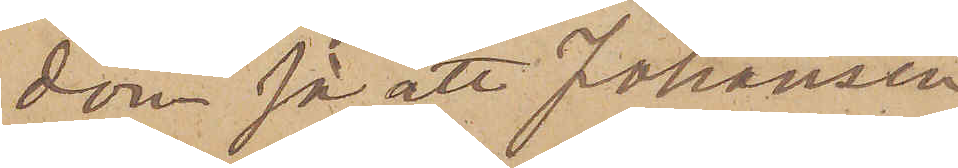dom så att Johansen
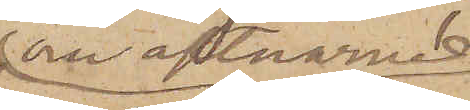om aftnarne
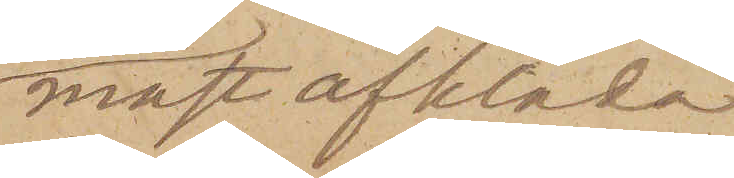måst afkläda
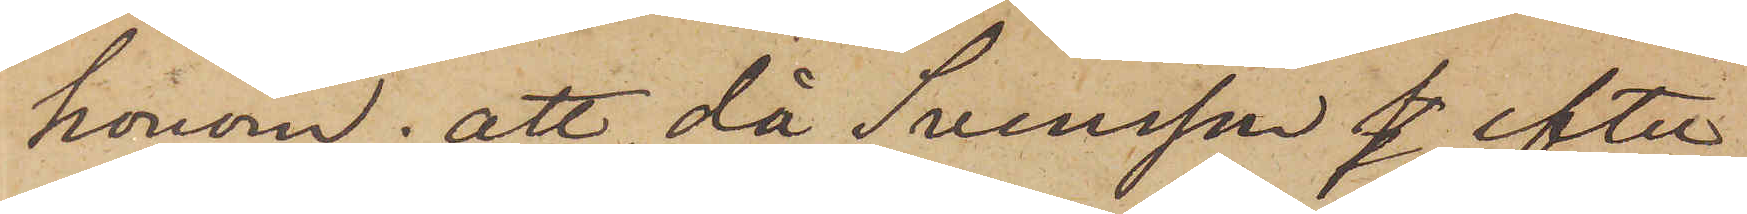honom; att då Svensson efter
